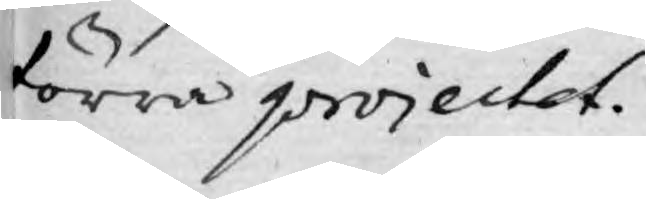förra projectet.
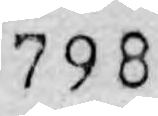798
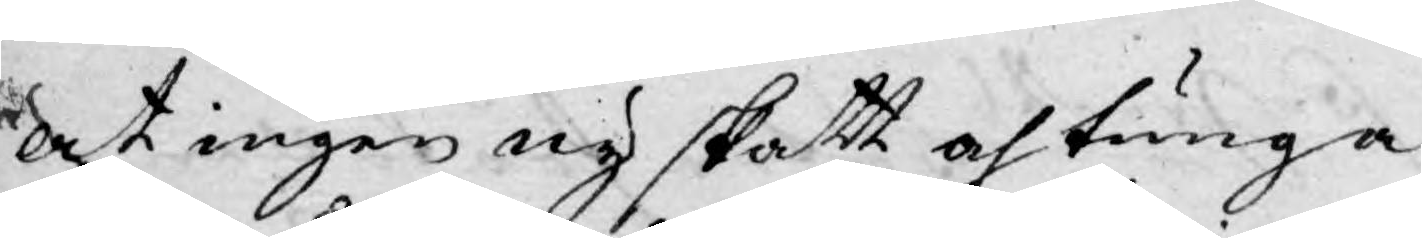at ingen ny skatt och tunga
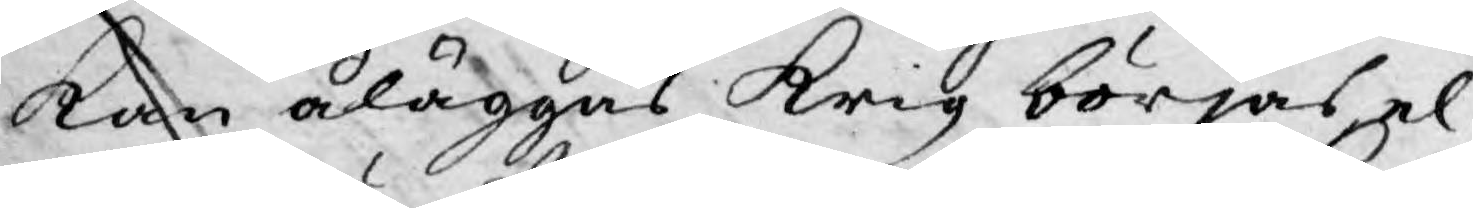Kan åläggas Krig börjas, el¬
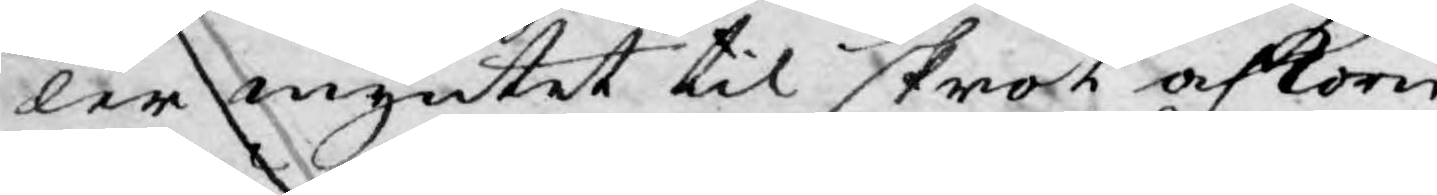ler myntet til skrot och korn
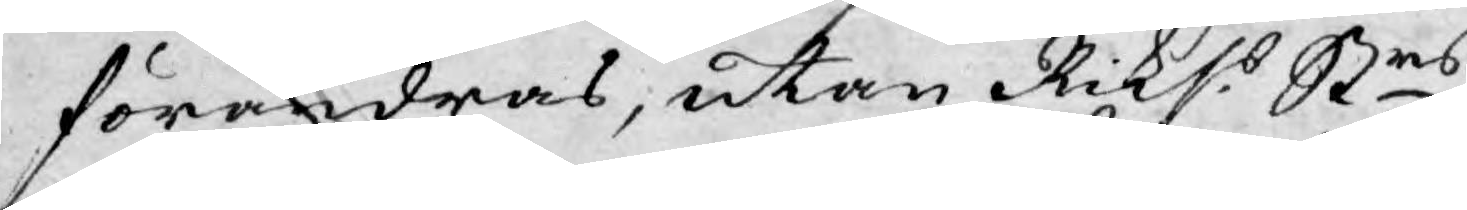förändras, utan Rikss Strs
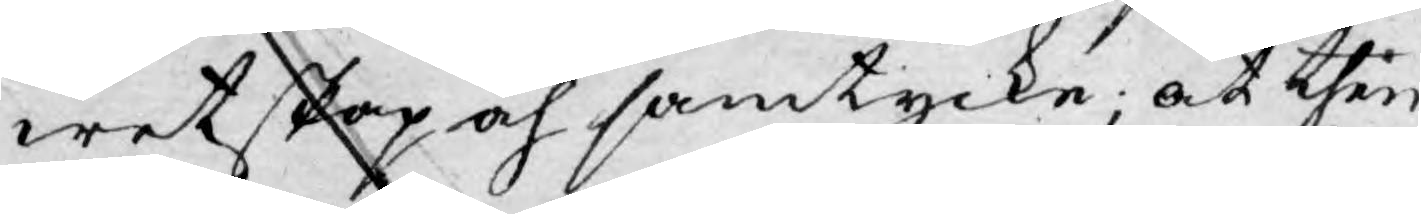wetskap och samtycke; at then
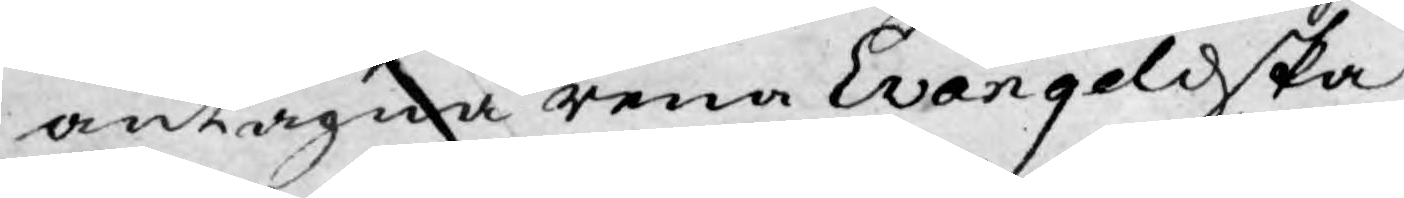antagna rena Evangeliska
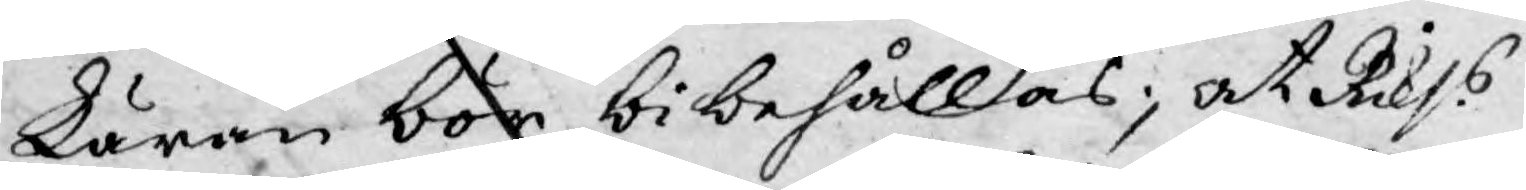Läran bör bibehållas; at Rikss
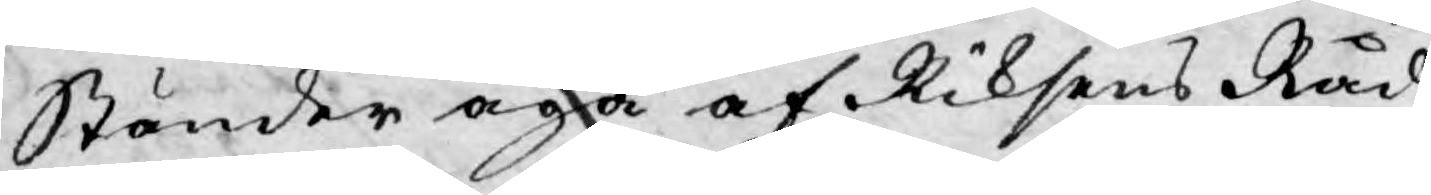Ständer äga af Riksens Råd
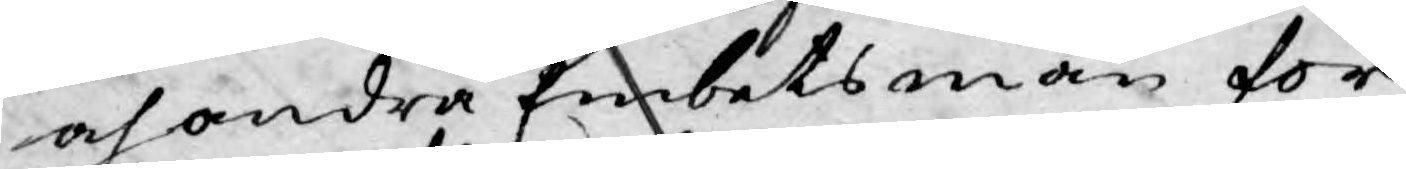och andra Embetsmän för
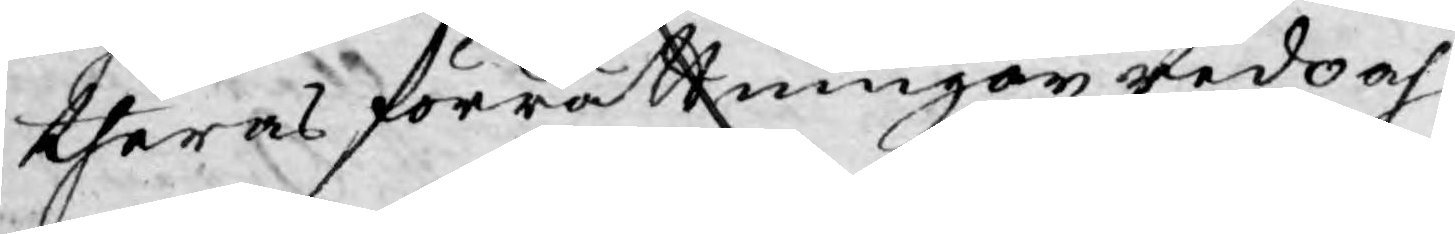theras förrättningar redo och
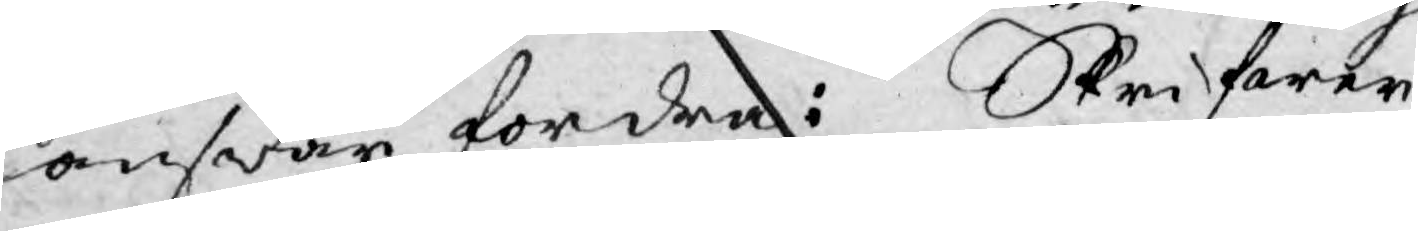answar fordra: Skrifwer
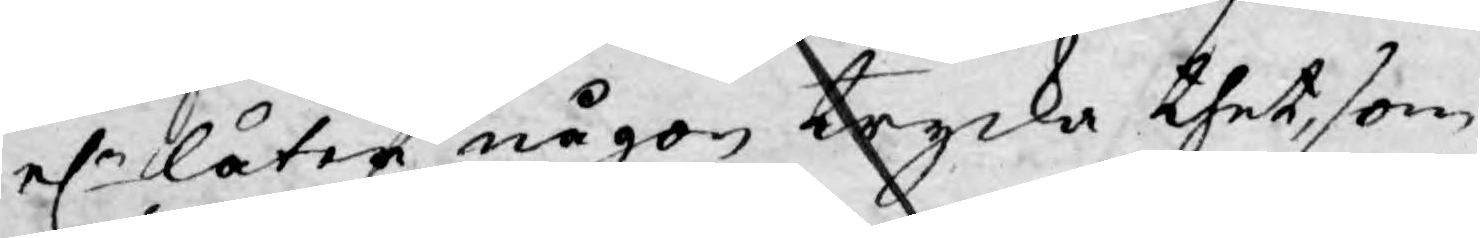el:r låter någon trycka thet, som
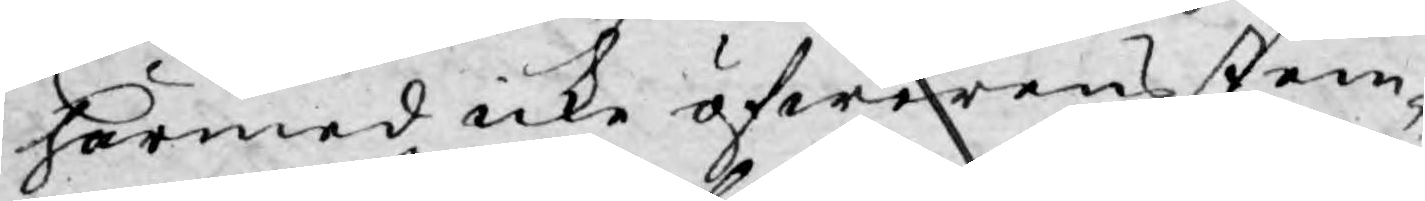härmed icke öfwerens stem¬
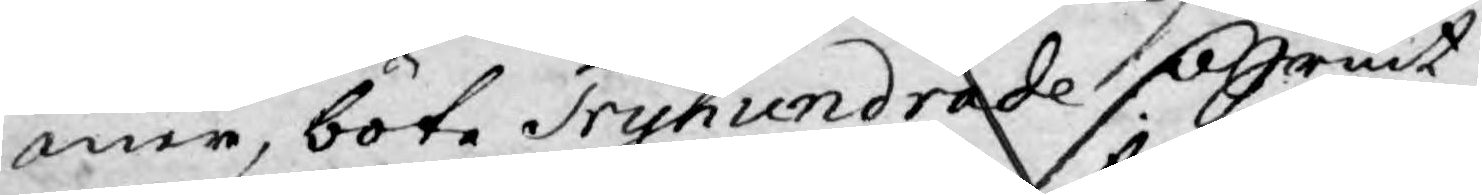mer, böte Tryhundrade Dlr Srmt
